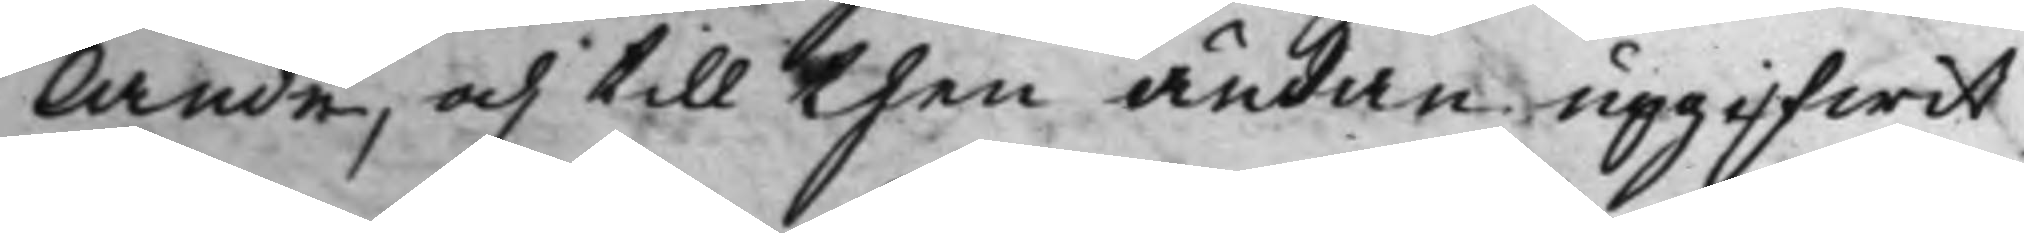lande, och till then ändan upgifwit
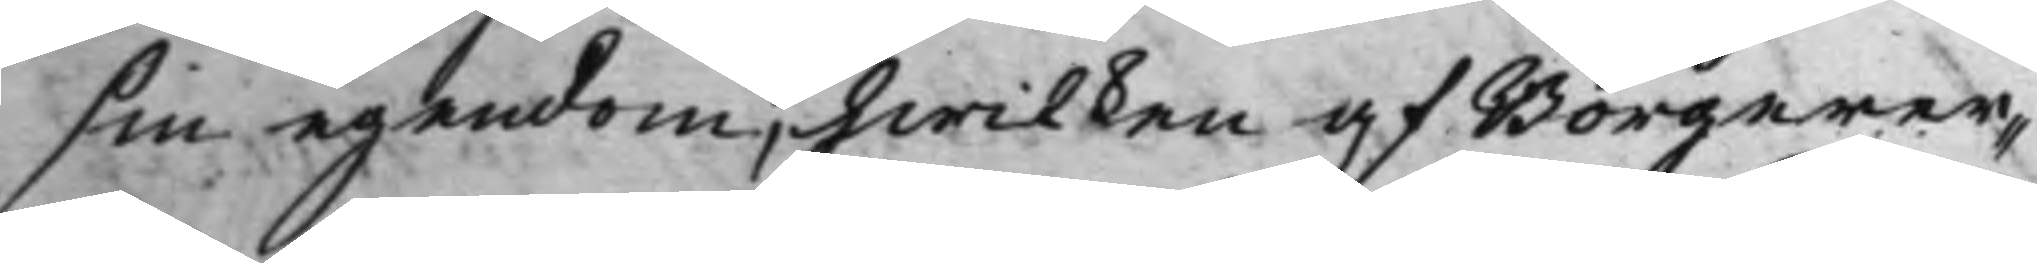sin egendom, hwilken af Borgerer¬
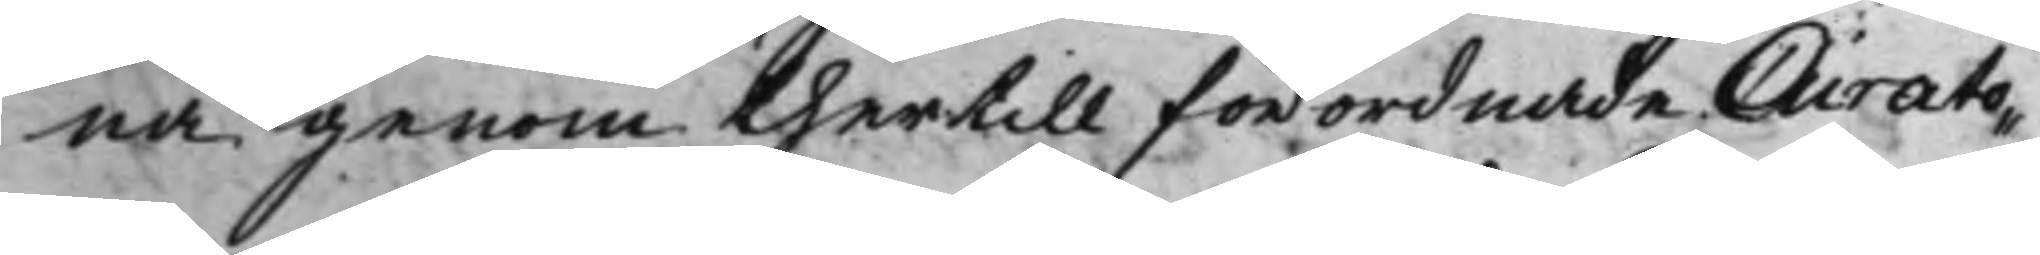na genom thertill förordnade Curato¬
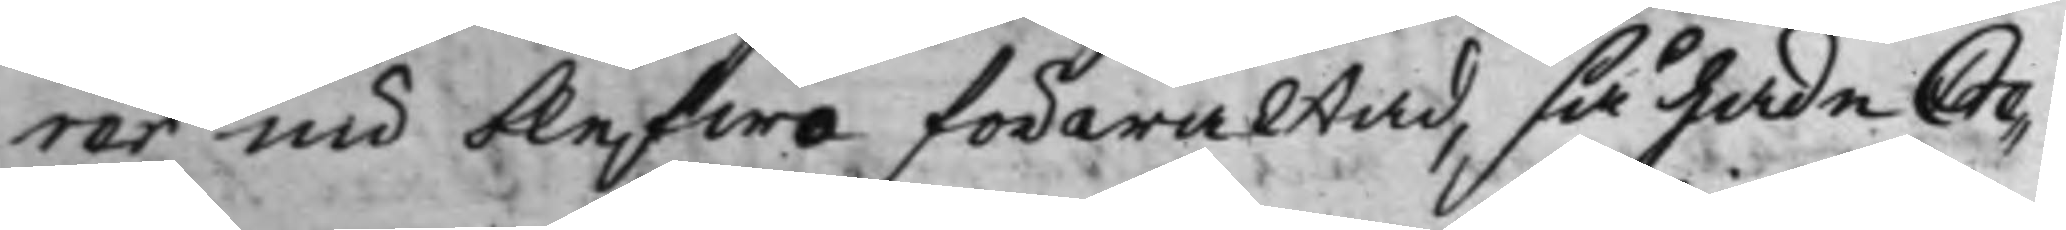rer nu blefwo förwaltad, så hade Cre¬
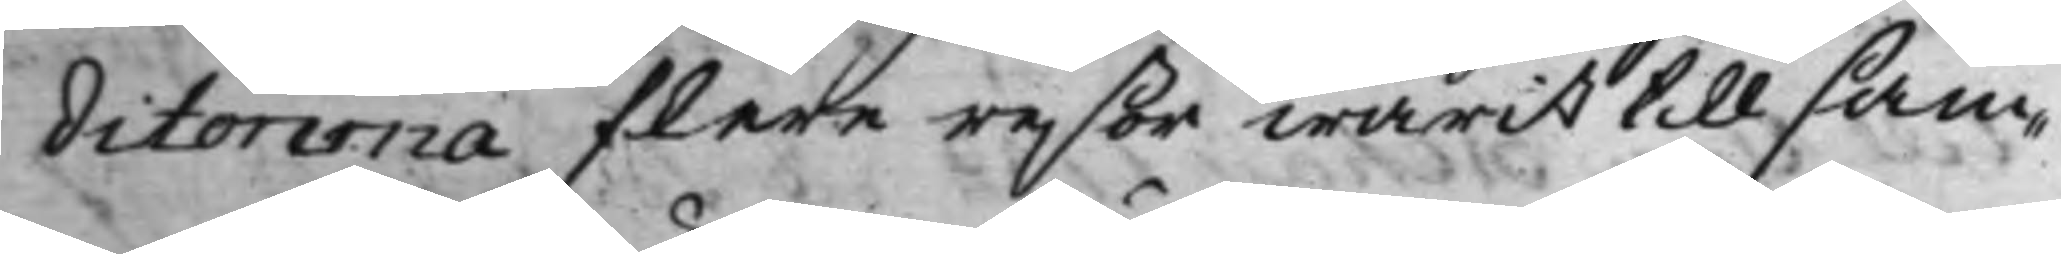ditorerna flere reßor warit tillsam¬
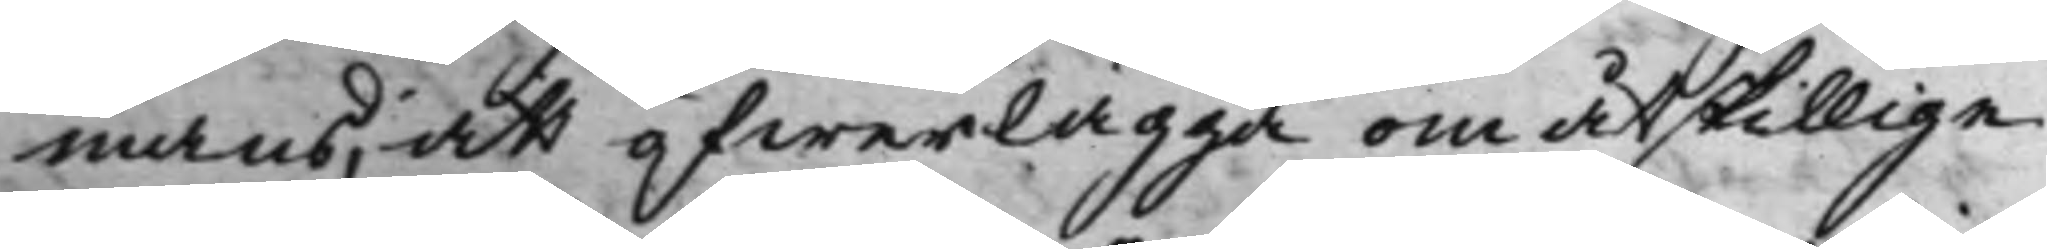mans, att öfwerlägga om åtskillige
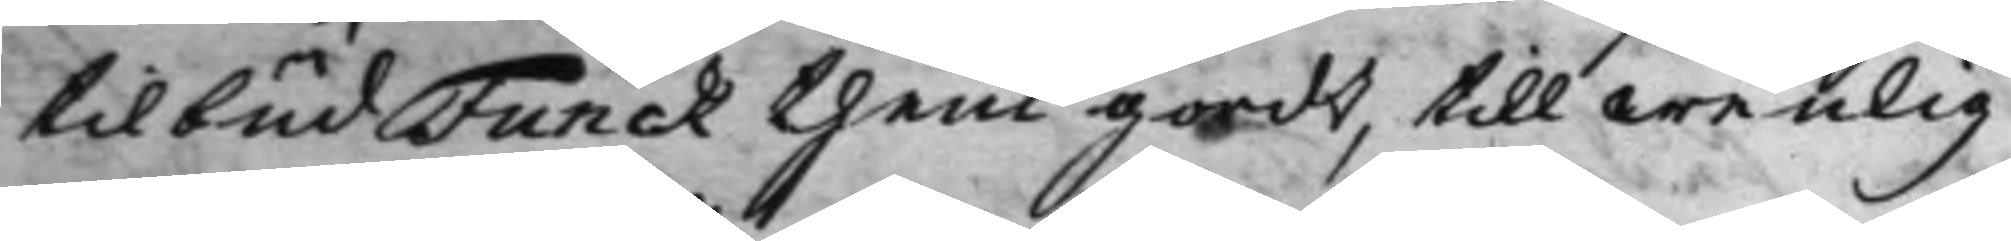tilbud Funck them gordt, till wenlig
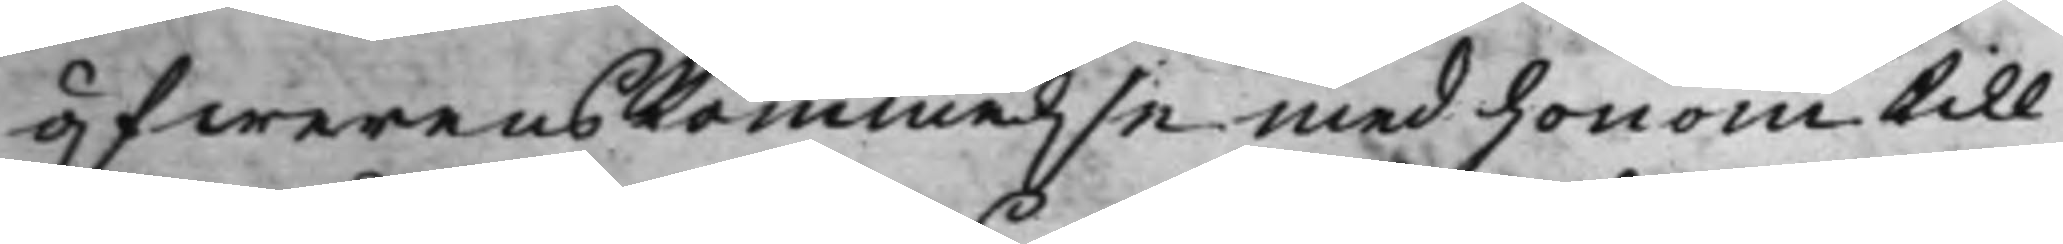öfwerenskommelse med honom till
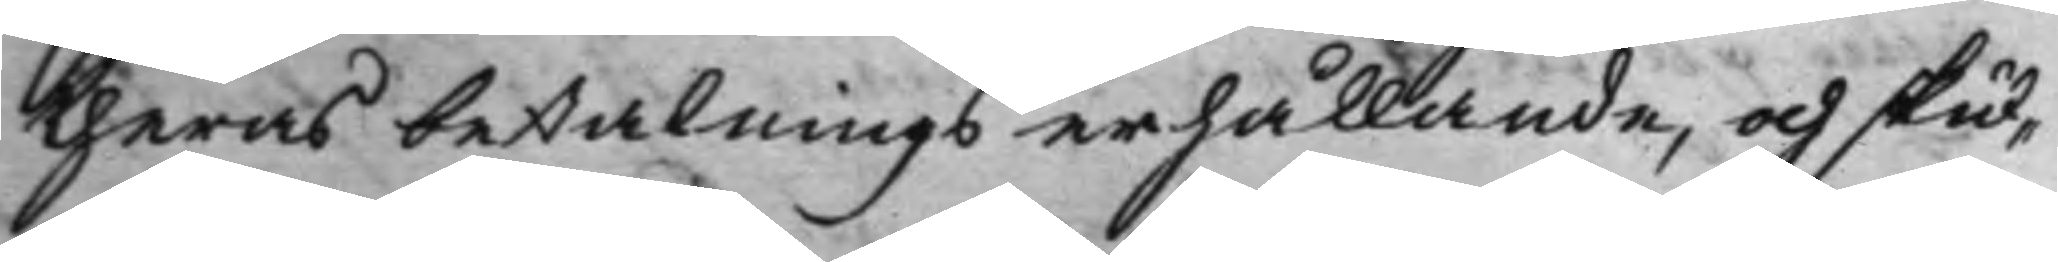theras betalnings erhållande, och skul¬
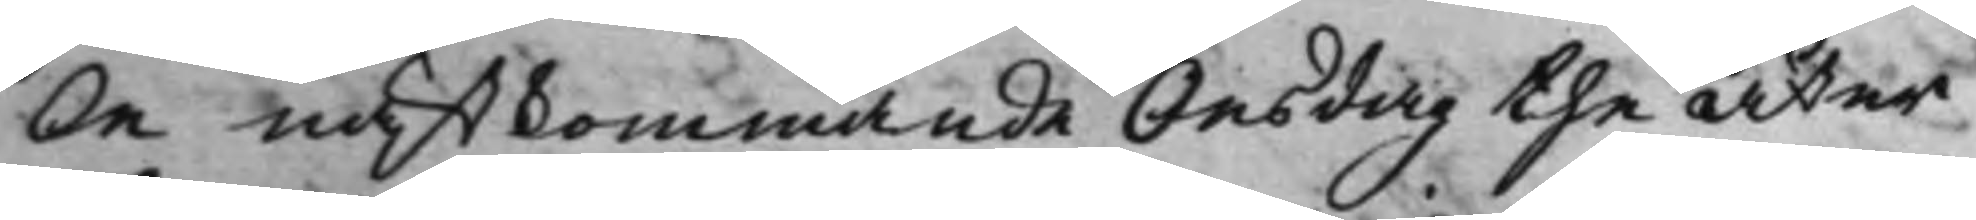le nästkommande Onsdag the åter
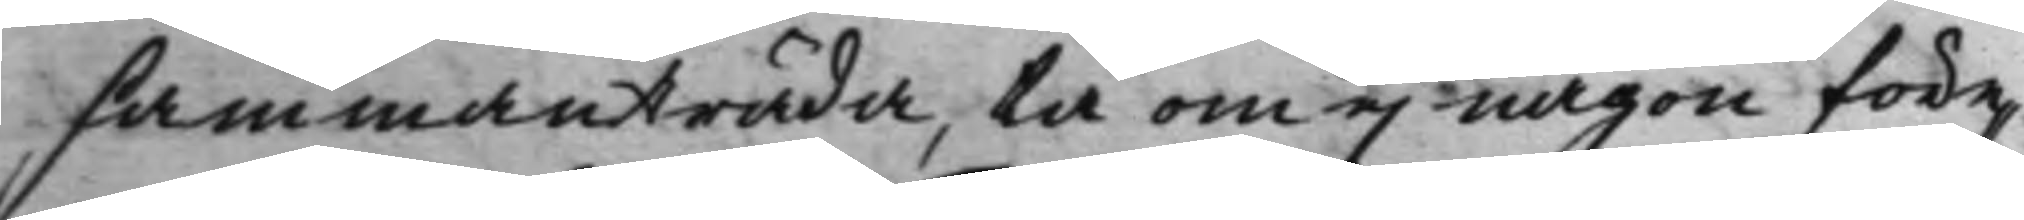sammanträda, tå om ej någon före¬
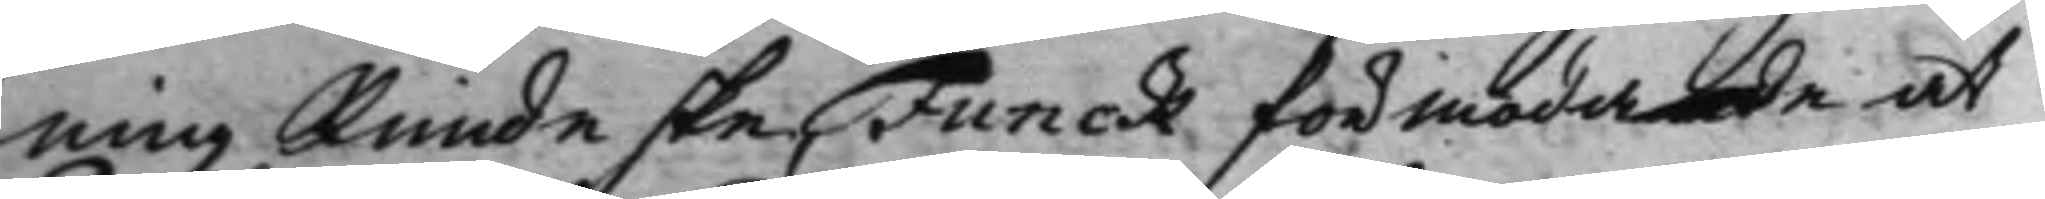ning kunde ske, Funck förmodade at
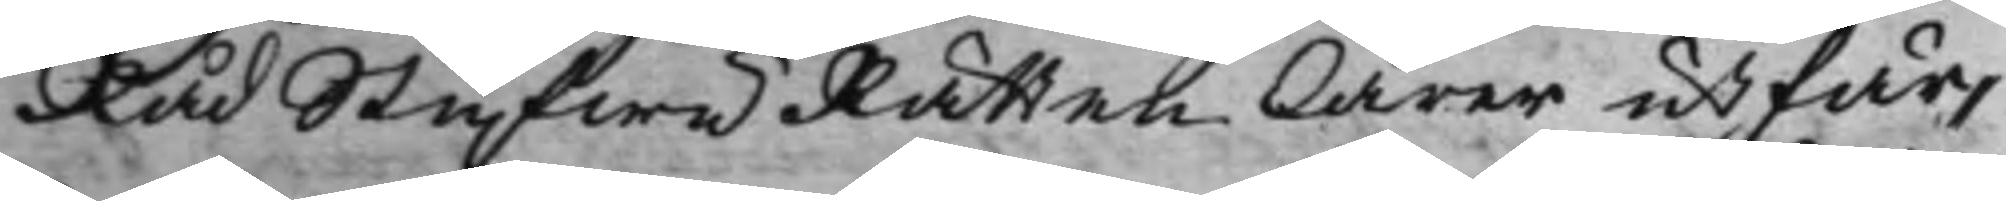RådStufwuRätten lärer utfär¬
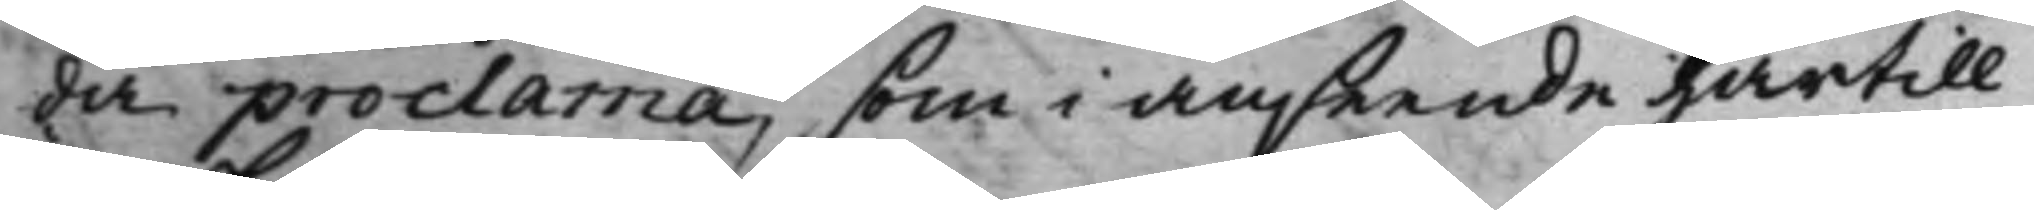da proclama, som i anseende härtill
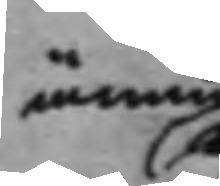ännu
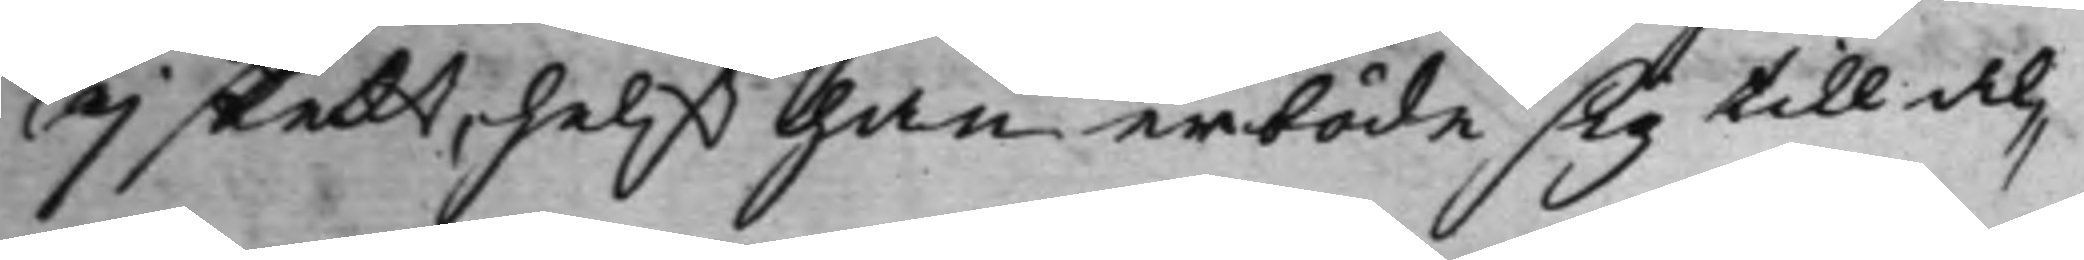ej skedt, helst han erböde sig till al¬
